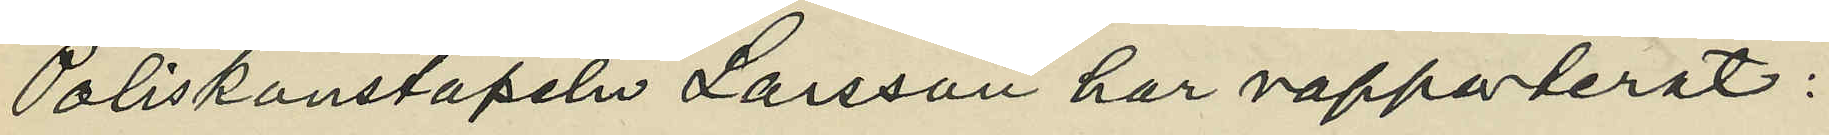Poliskonstapeln Larsson har rapporterat:
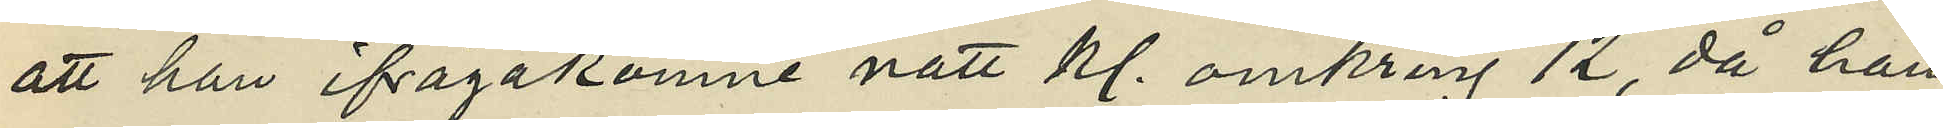att han ifrågakomne natt kl. omkring 12, då han
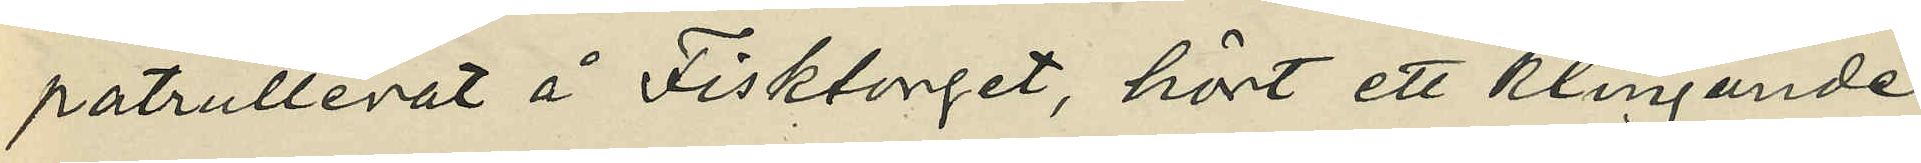patrullerat å Fisktorget, hört ett klingande
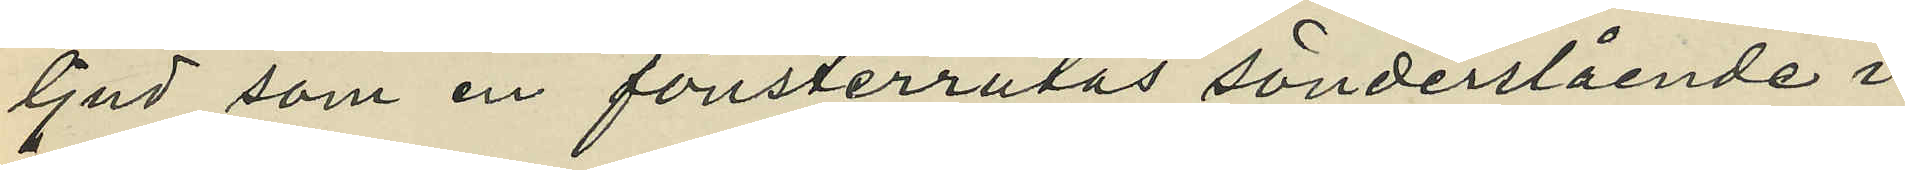ljud som en fönsterrutas sönderslående i
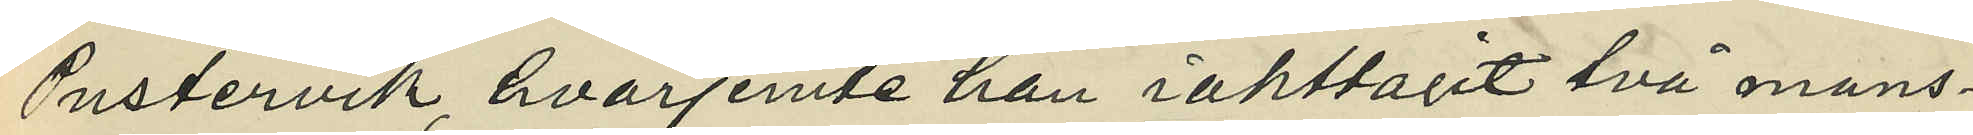Pustervik, hvarjemte han iakttagit två mans¬
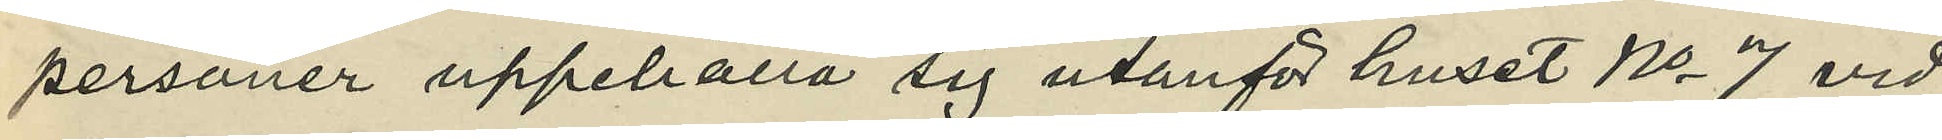personer uppehålla sig utanför huset No 7 vid
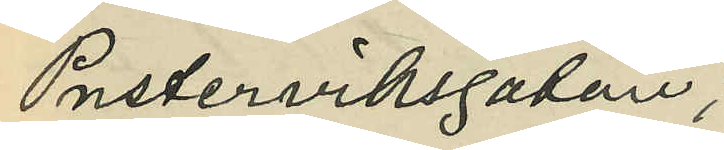Pusterviksgatan;
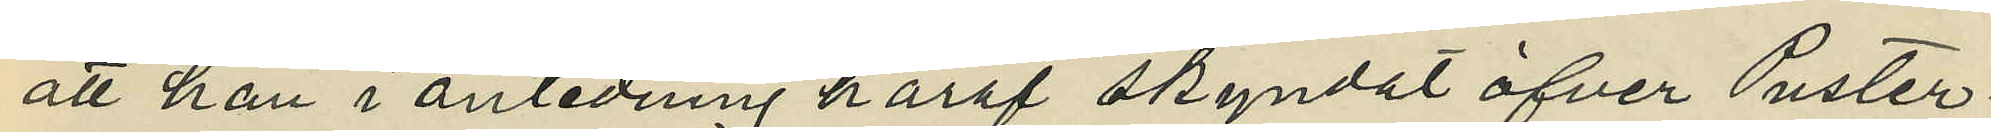att han i anledning häraf skyndat öfver Puster¬
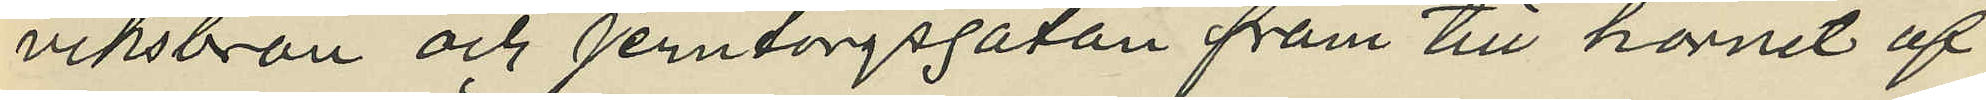viksbron och Jerntorgsgatan fram till hörnet af
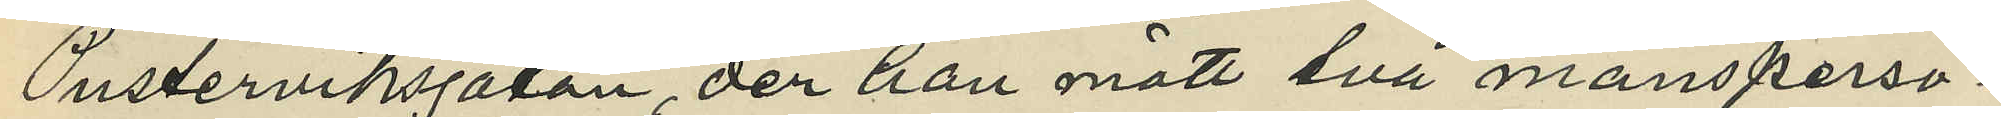Pusterviksgatan, der han mött två mansperso¬
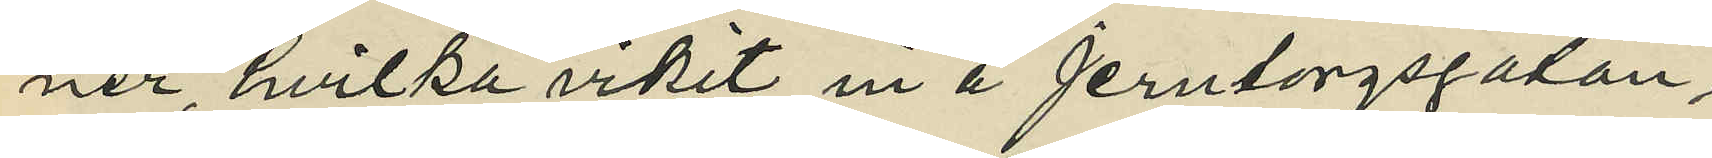ner, hvilka vikit in å Jerntorgsgatan;
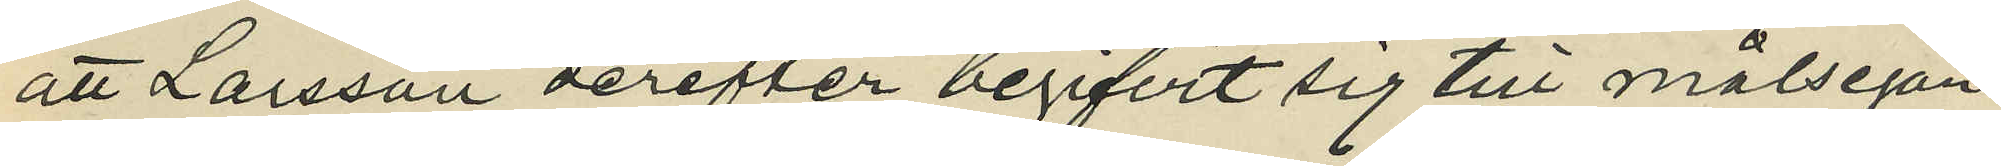att Larsson derefter begifvit sig till målsegan¬
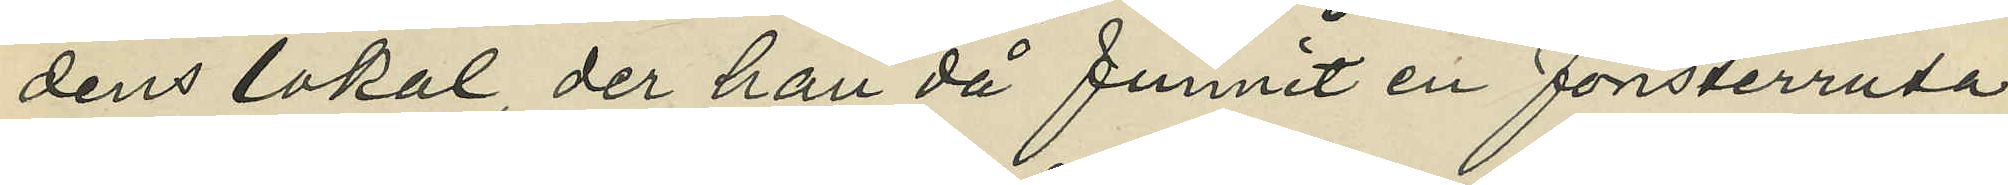dens lokal der han då funnit en fönsterruta
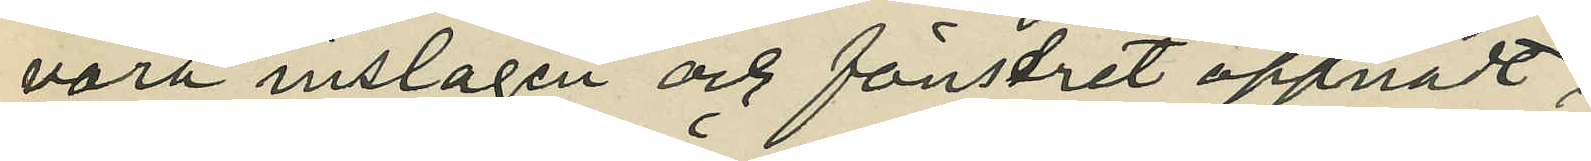vara inslagen och fönstret öppnadt;
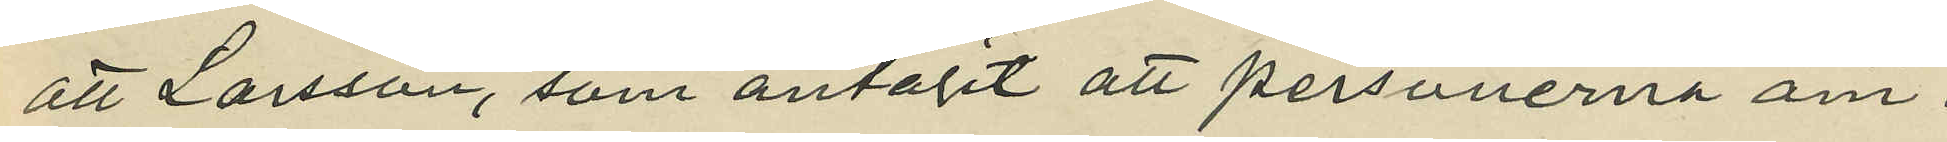att Larsson, som antagit att personerna äm¬
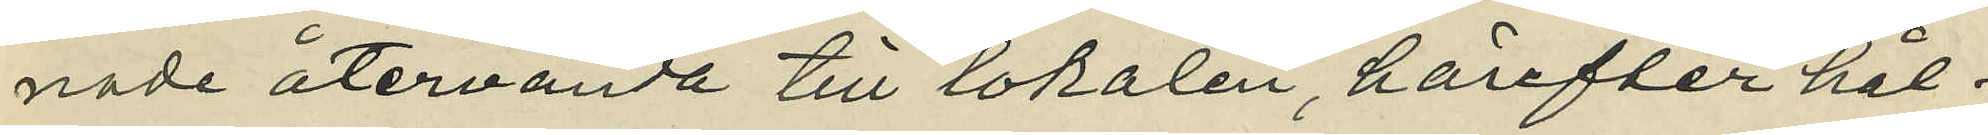nade återvända till lokalen, härefter hål¬
